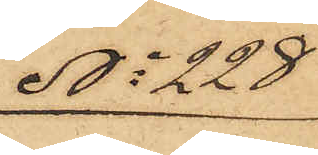No 228
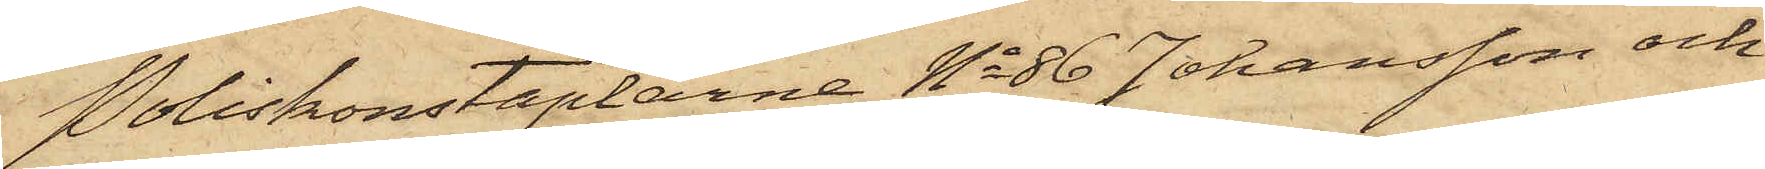Poliskonstaplarne No 86 Johansson och
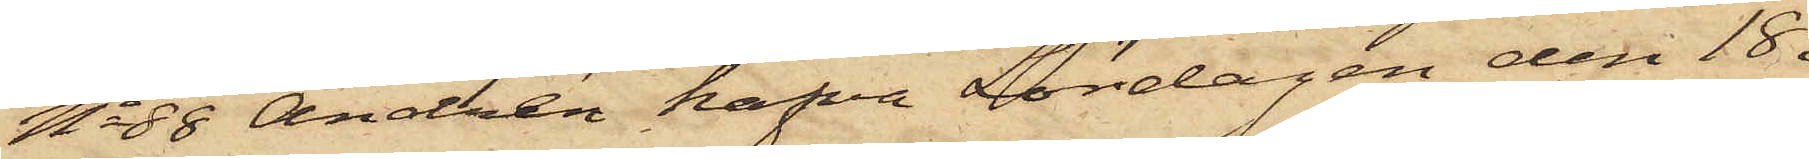No 88 Andrén hafva Lördagen den 18 i
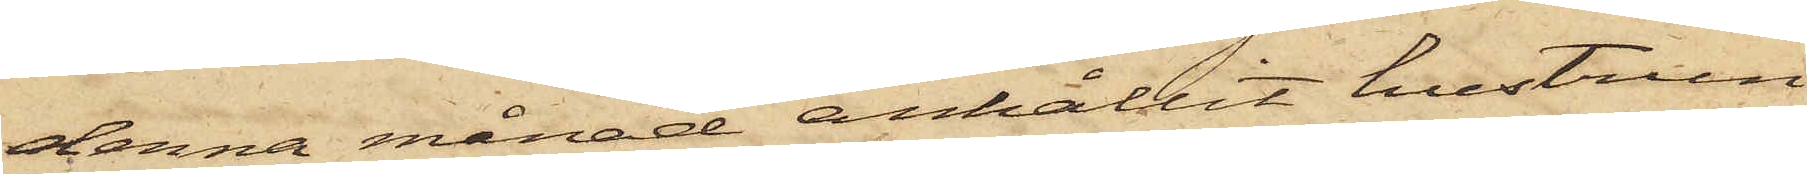denna månad anhållit hustrun
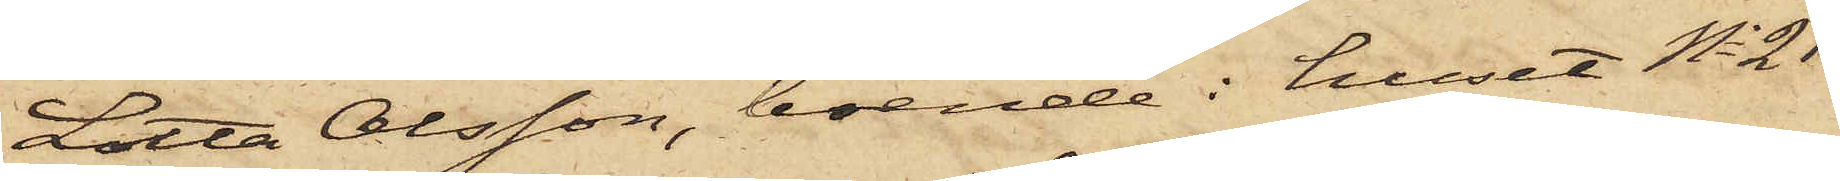Lotta Olsson, boende i huset No 21
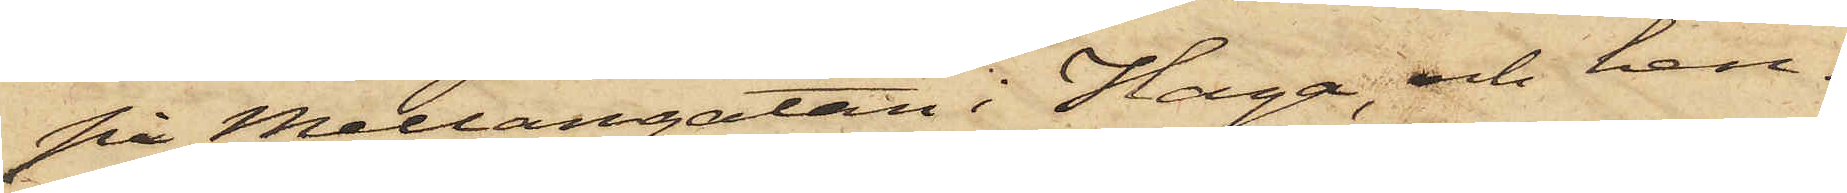på Mellangatan i Haga, och hen¬
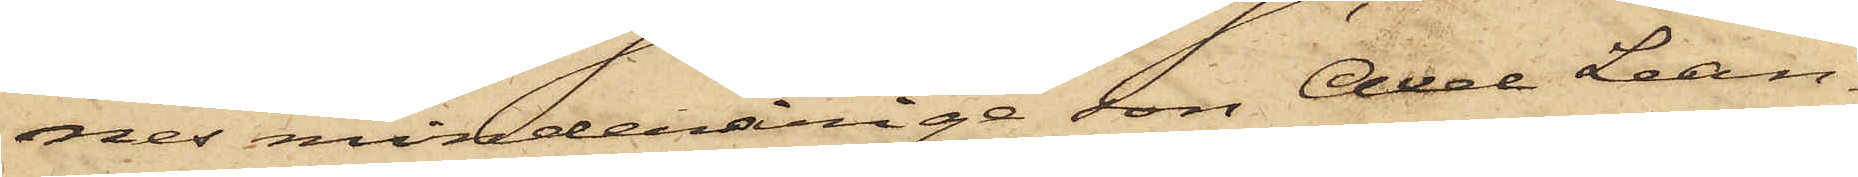nes minderårige son Axel Lean¬
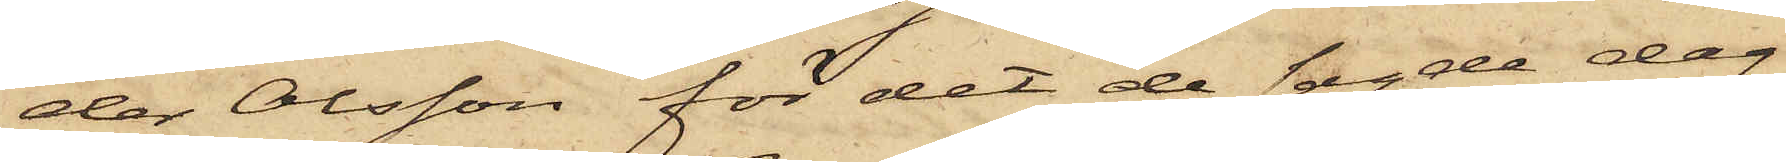der Olsson för det de sagde dag
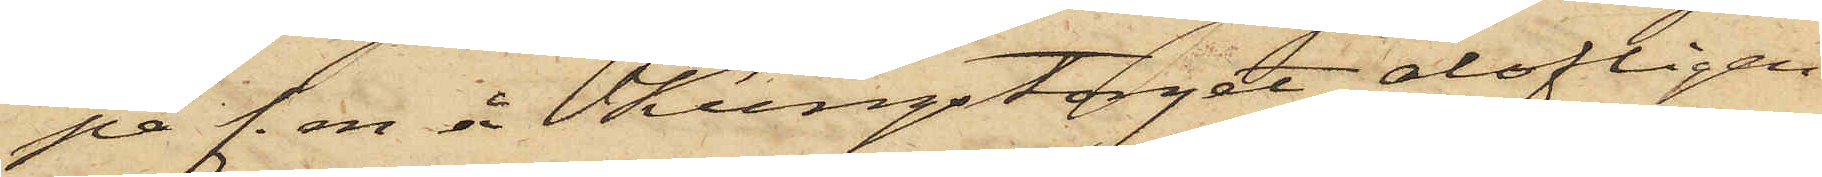på f. m å Kungstorget olofligen
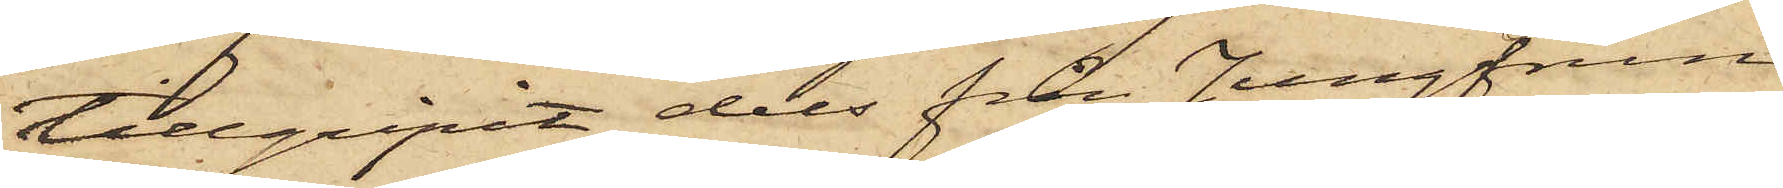tillgripit dels från Jungfrun
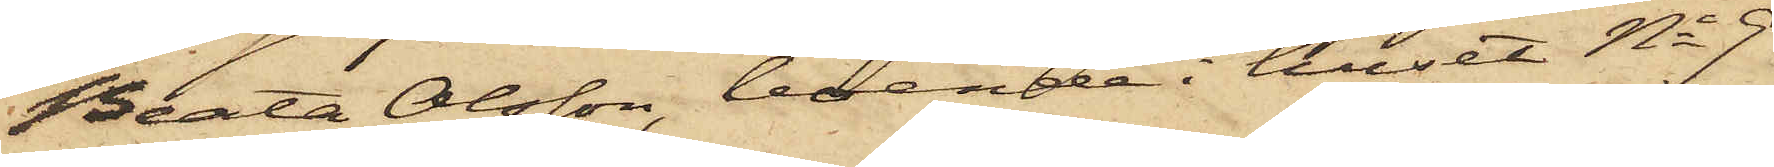Beata Olsson, boende i huset No 9
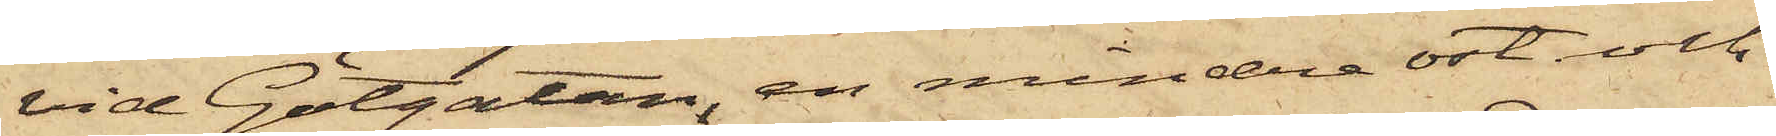vid Götgatan, en mindre ost och
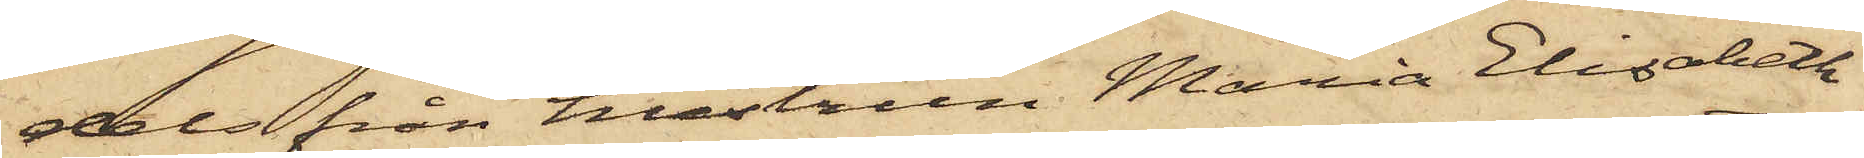dels från hustrun Maria Elisabeth
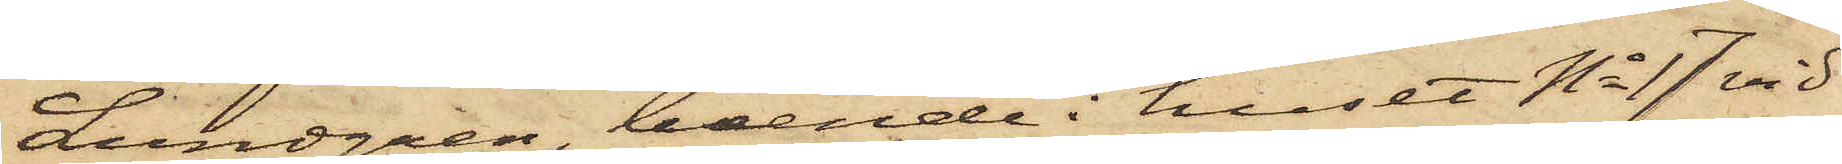Lundgren, boende i huset No 17 vid
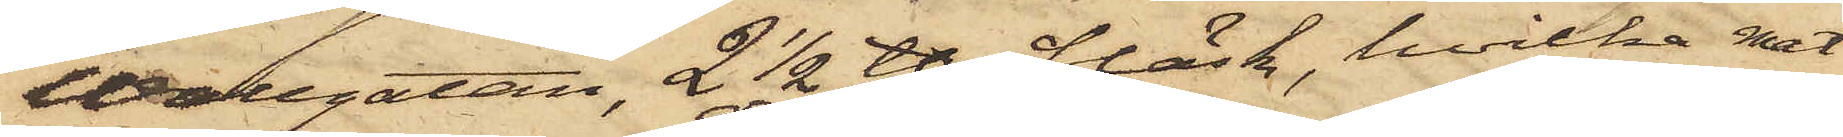Wallgatan, 2 1/2 ℔ fläsk, hvilka mat¬
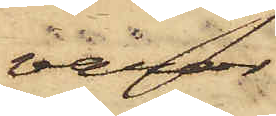varor
